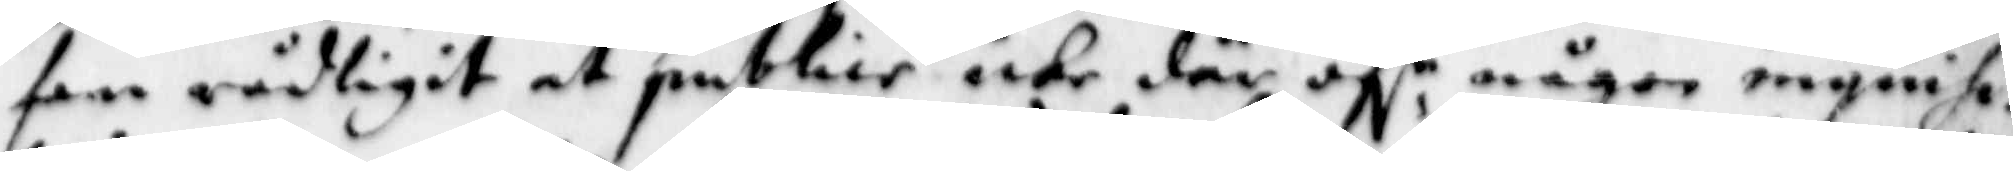fan rådligit at publice icke där öf:r någon inquisa¬
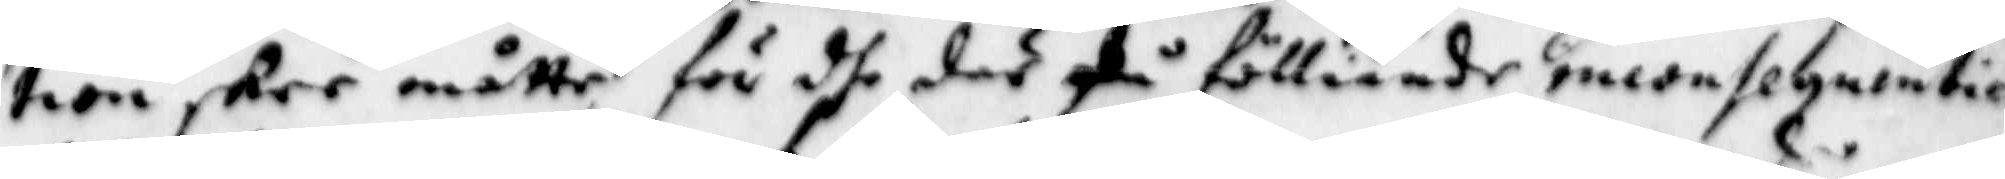tion skee måtte för dhe där på fölliande medeslyntice
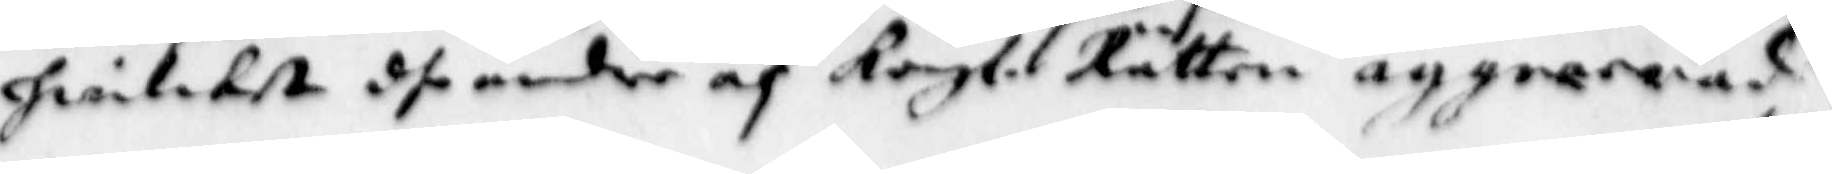hwilket dhe andre af Kongl. Rätten aggrererade.
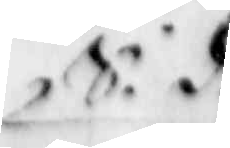S.d.
